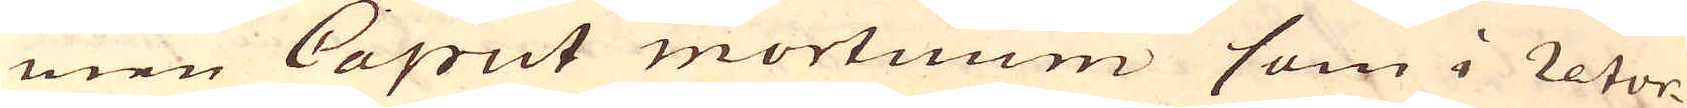men Caput mortuum som i retor-
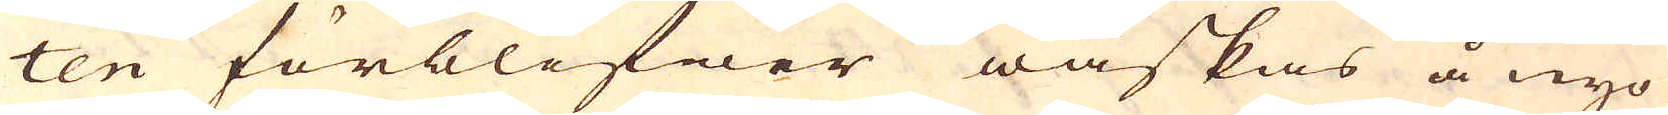ten förblifwer waskas å nyo
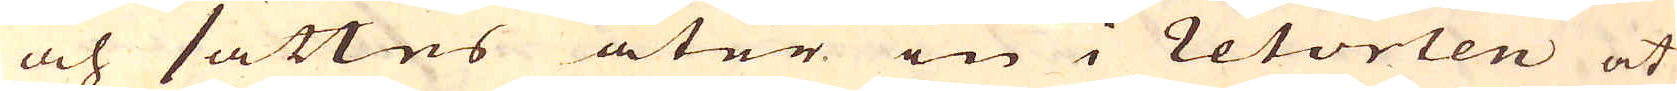och sättes åter in i retorten at
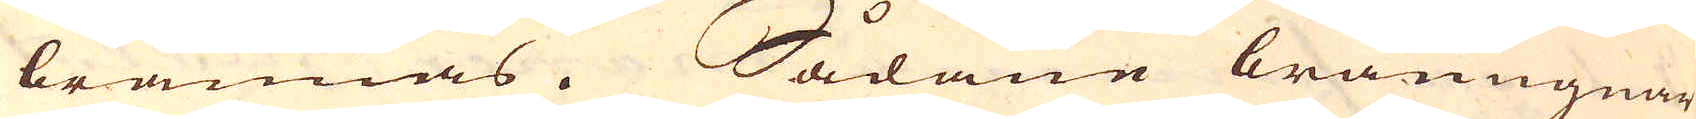brännas. Sådane bränugnar
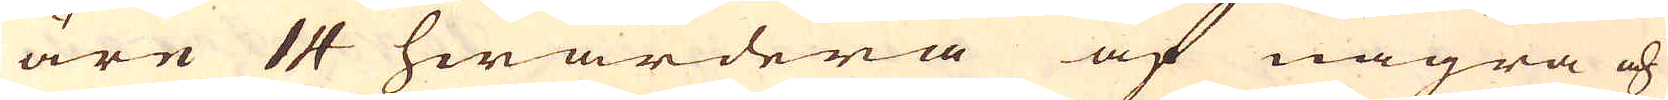äre 14 hwardera af några och
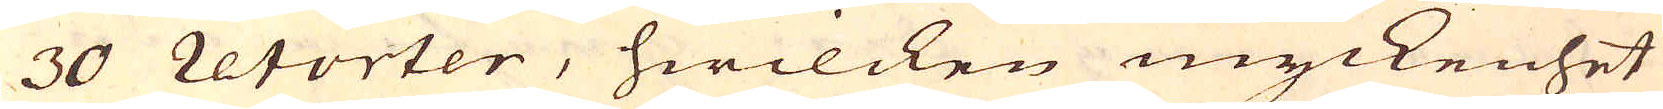30 retorter, hwilcken myckenhet
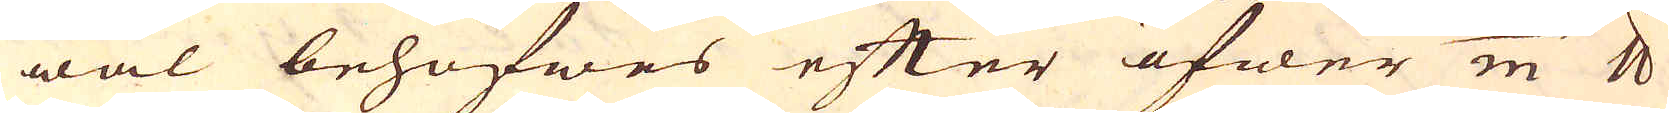wäl behöfwes efter öfwer 200/m skålpund
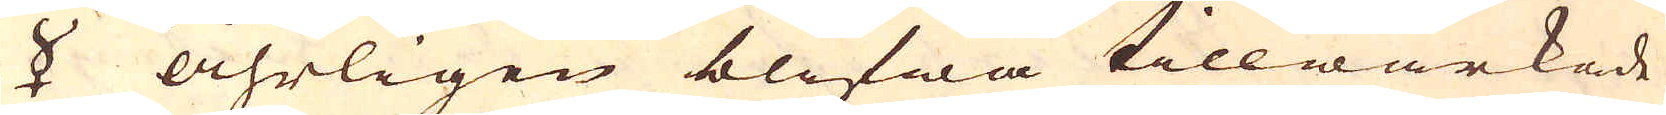☿ åhrligen blifwa tillwärkade
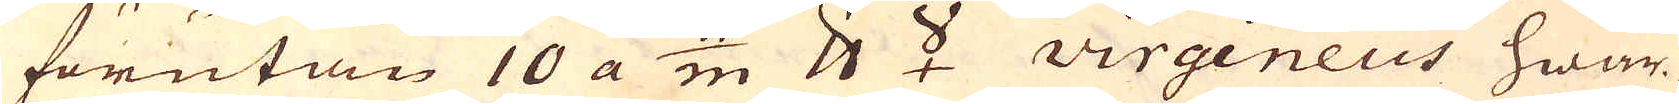förutan 10 a 11/m skålpund ☿ virgineus hwar-
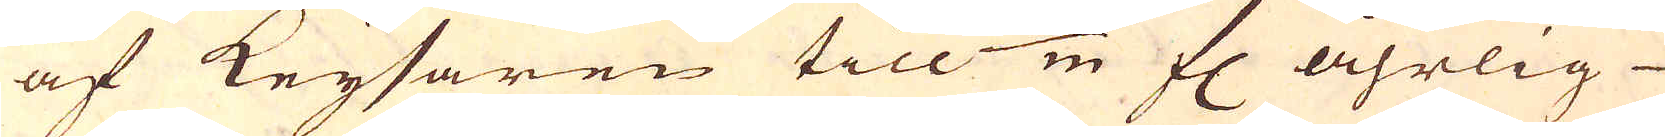af Keysaren till 160/m fl åhrlig
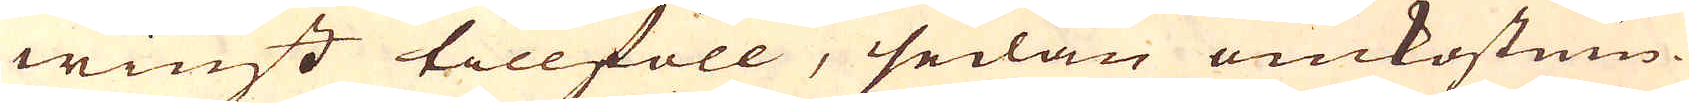winst tillföll, sedan omkostnin-
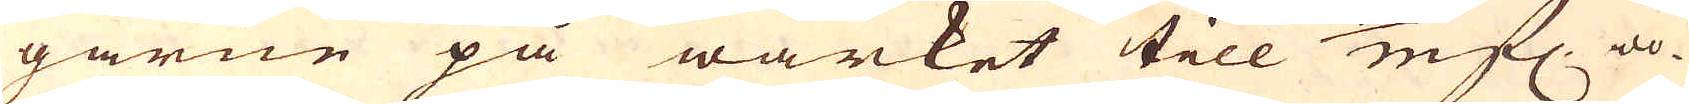garne på wärket till 30/m fl. wo-
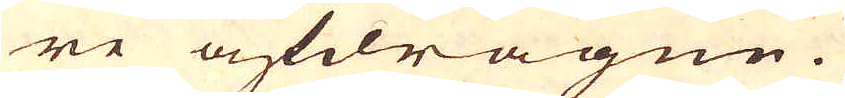re afdragne.
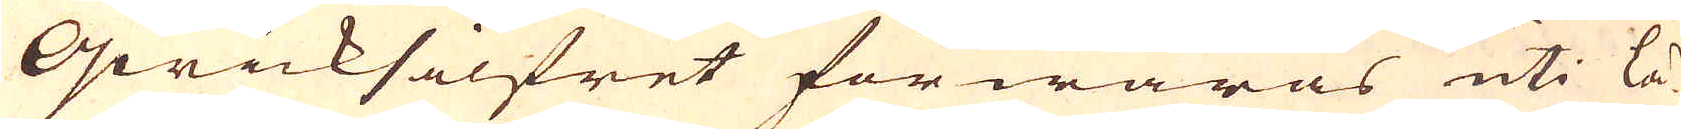Qwicksilfret förwaras uti lä-
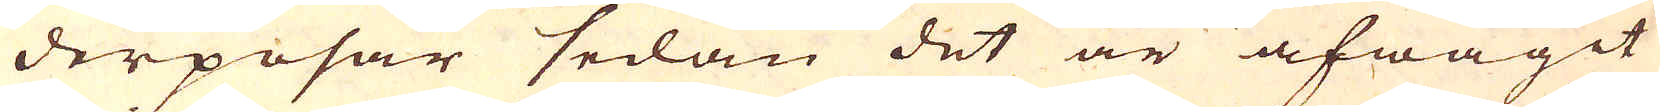derposar sedan det är afwägit
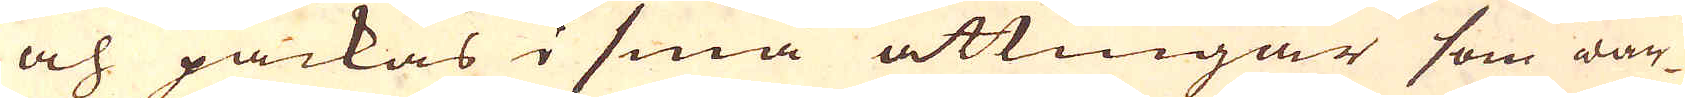och packas i små åttingar som war-
